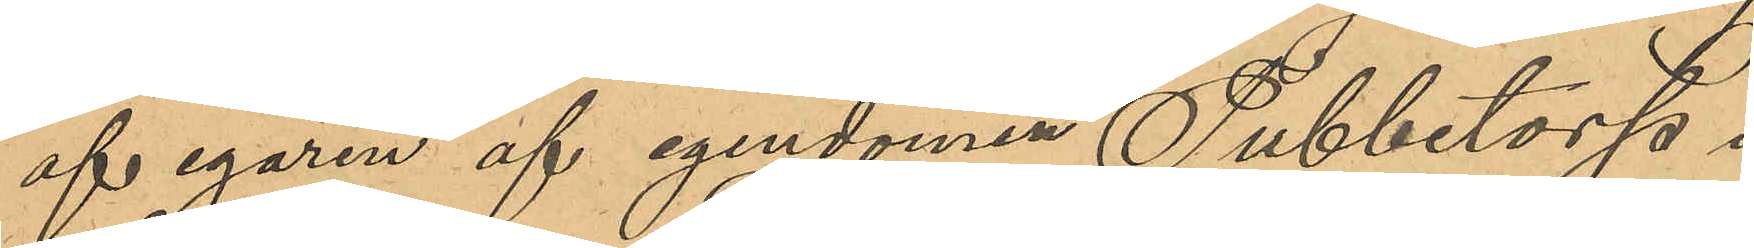af egaren af egendomen Tubbetorpa i
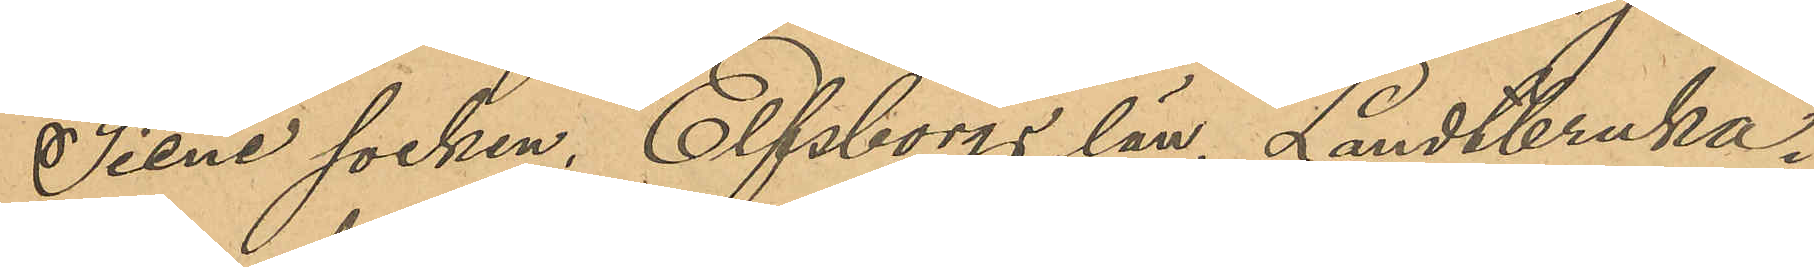Siene socken, Elfsborgs län, Landtbruka¬
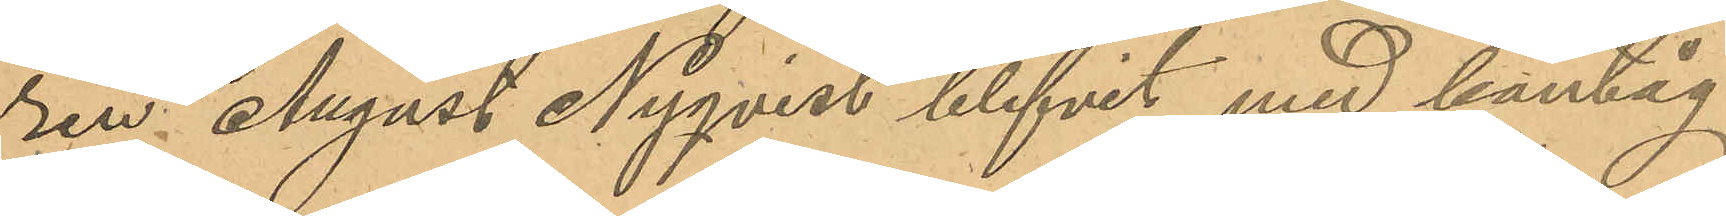ren August Nyqvist blifvit med bantåg
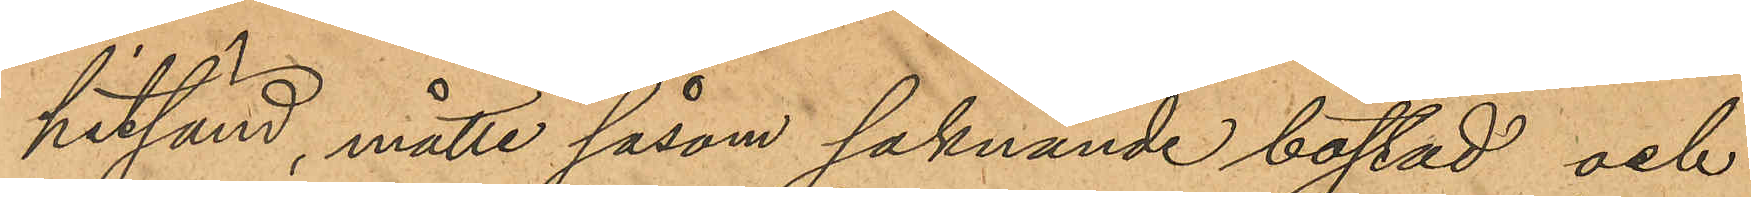hitsänd, måtte såsom saknande bostad och
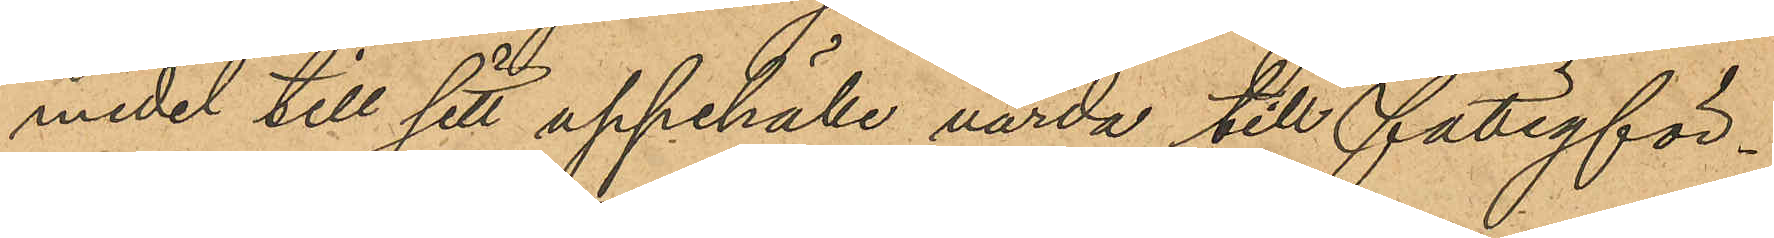medel till sitt uppehälle varda till fattigför¬
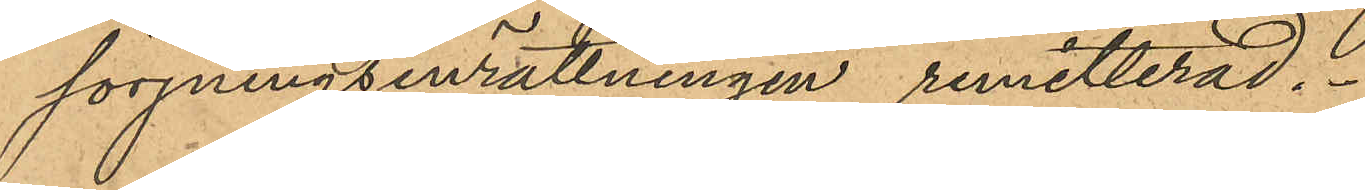sörjningsinrättningen remitterad.
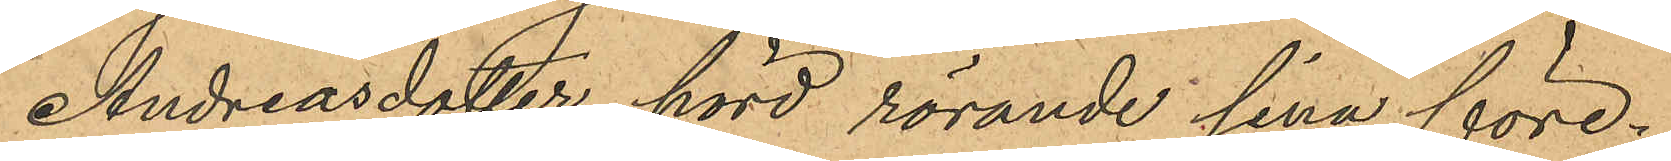Andreasdotter hörd rörande sina före¬
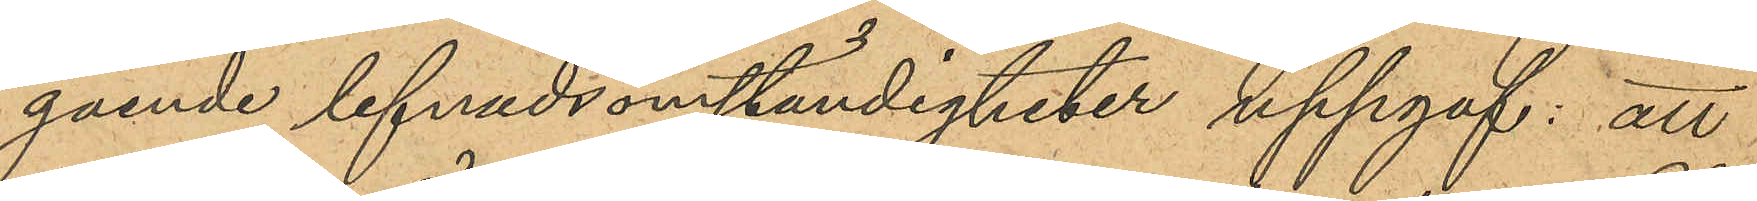gående lefnadsomständigheter uppgaf: att
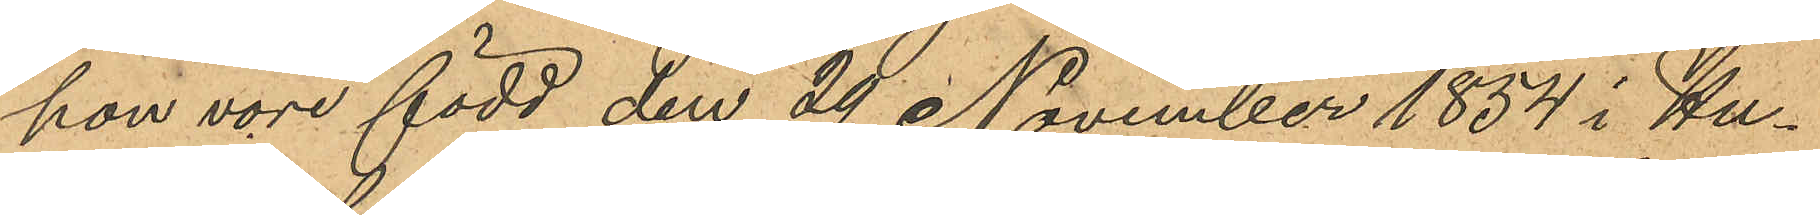hon vore född den 29 November 1854 i Hu¬
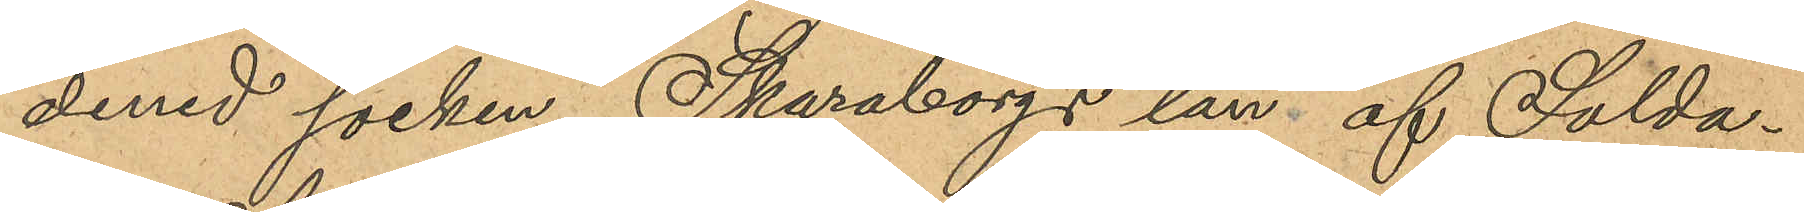dened socken, Skaraborgs län af Solda¬
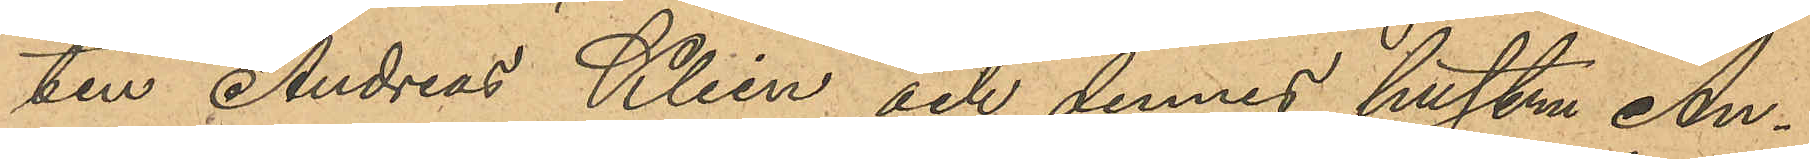ten Andreas Klien och dennes hustru An¬
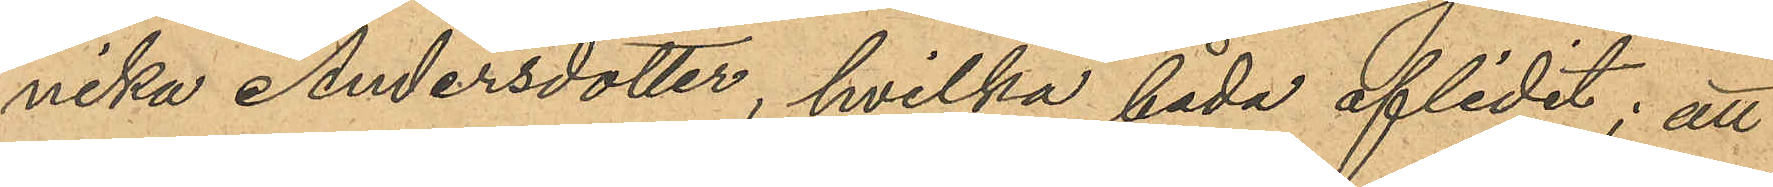nika Andersdotter, hvilka båda aflidit; att
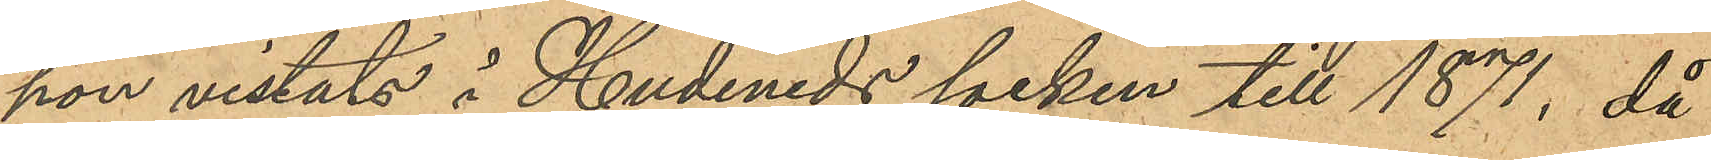hon vistats å Hudeneds socken till 1871, då
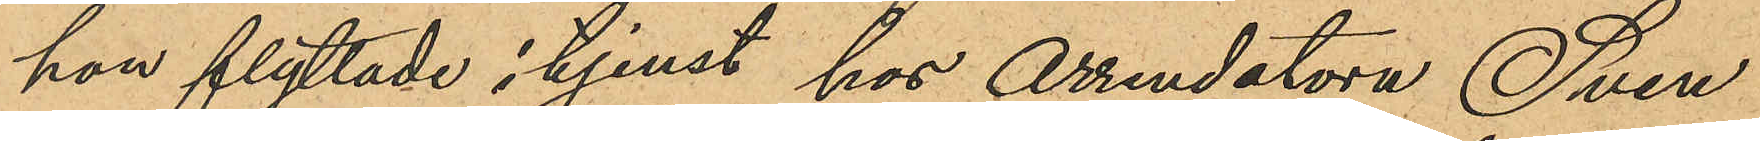hon flyttade i tjenst hos Arrendatorn Sven
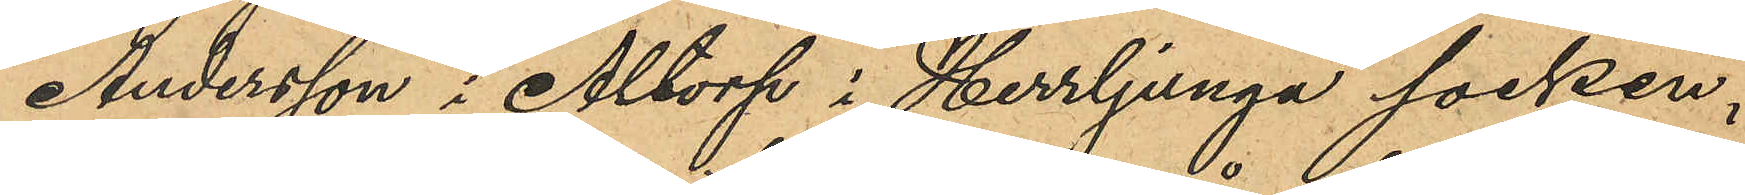Andersson i Altorp i Herrljunga socken,
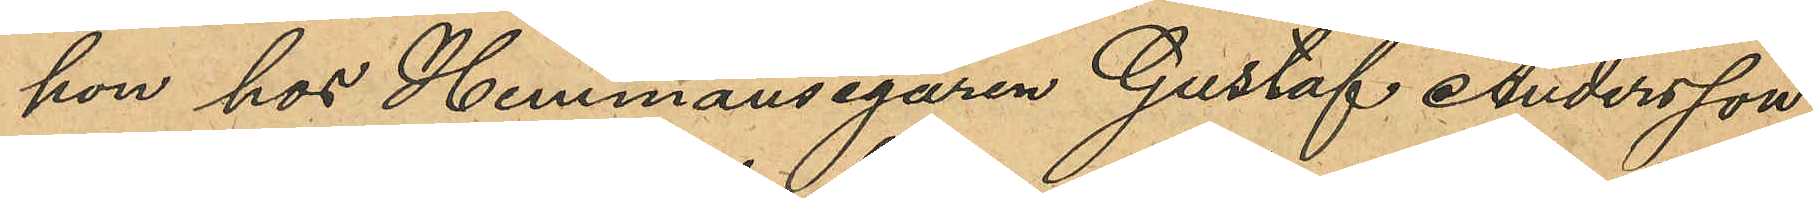hon hos Hemmansegaren Gustaf Andersson
